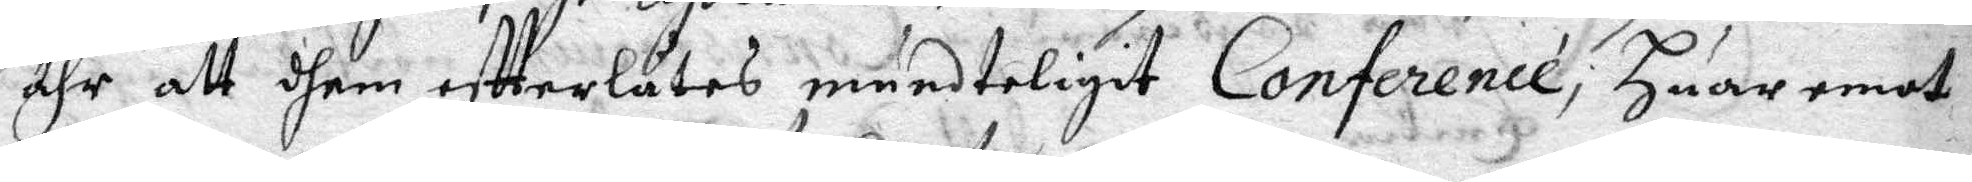ähr att dhem effterlåtes mundteligit Conference, Huar emot
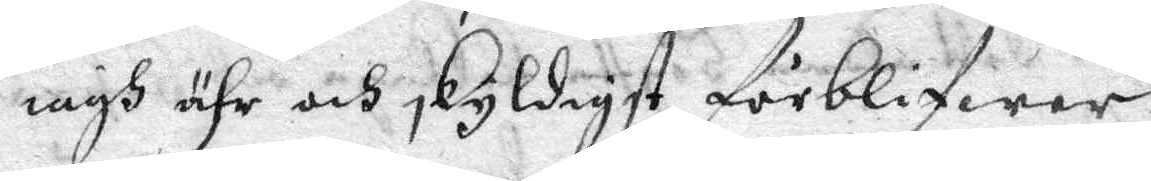iagh ähr och, Skyldigst förblifwer
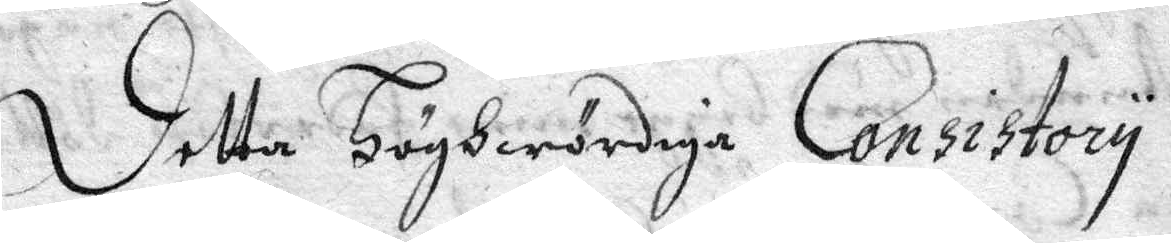Detta Höghwördiga Consistory
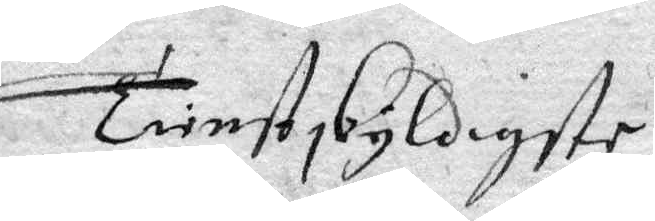Tienstskyldigste
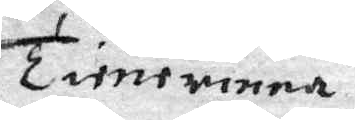Tienerinna
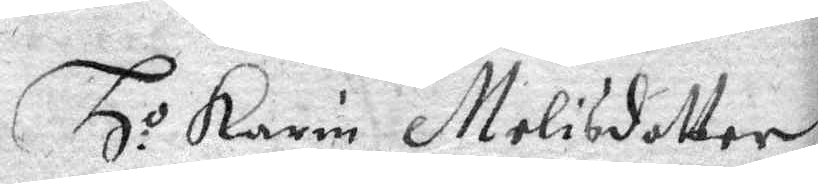Ho Karin Melisdotter
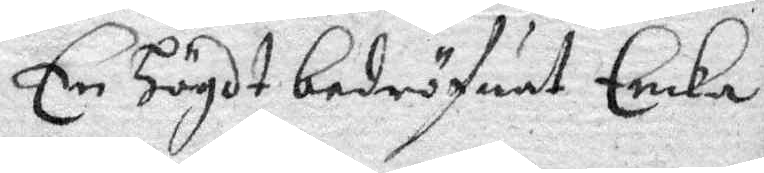En Högdt bedröfwat Encka
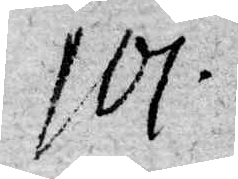101.
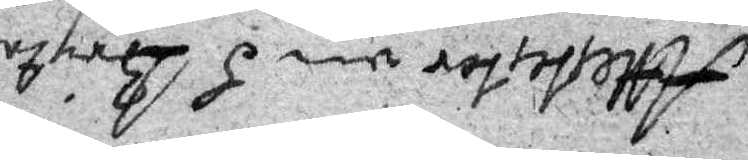Attester om H Bryta
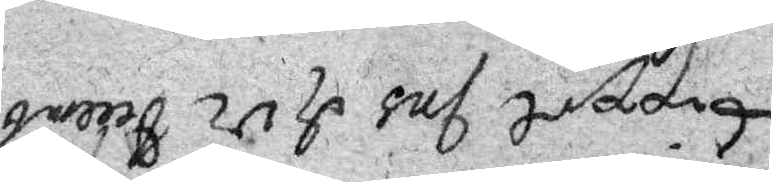trippel Ins d 12 Decemb
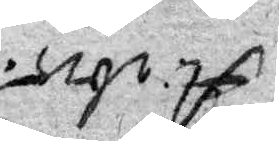A: 1675.
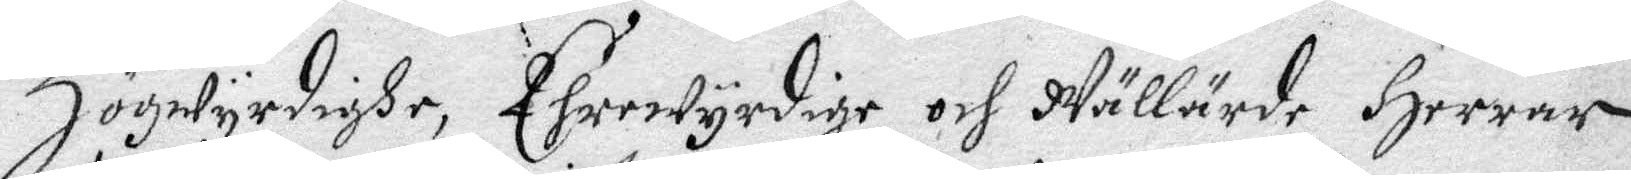Högwyrdighe Ehrewyrdige och Wällärde Herrar
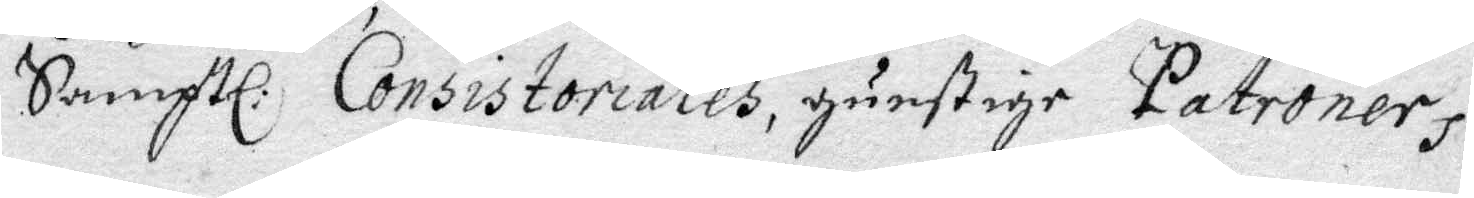Samptl. Consistoriales, gunstige Patroners.
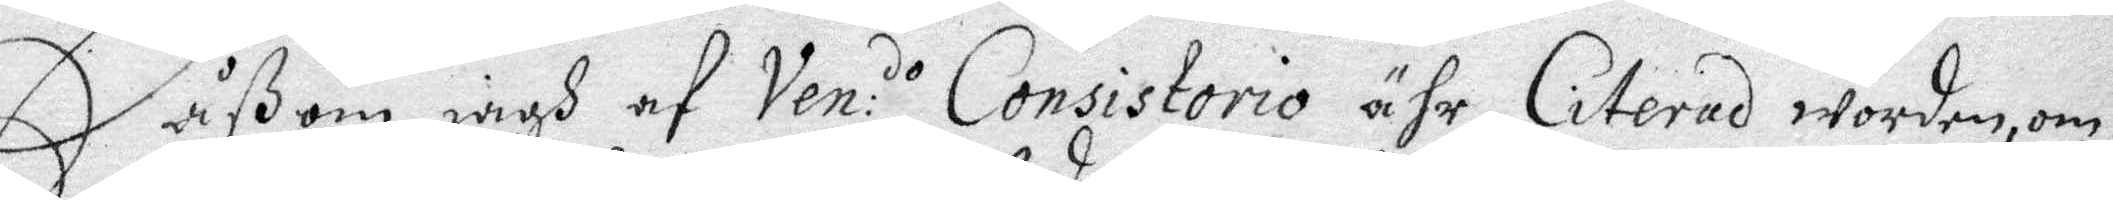Såßom iagh af Ven:do Consistorio ähr Citerad worden, om
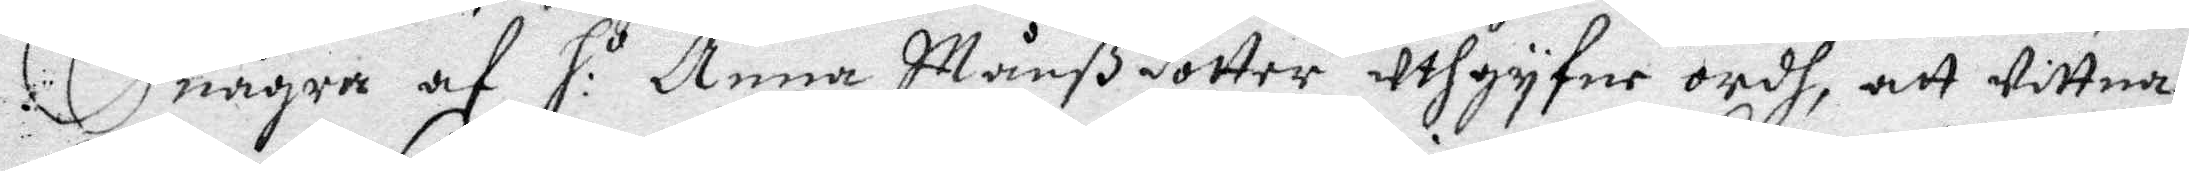några af H:o Anna Månßdotter uthgyfne ordh, att wittna
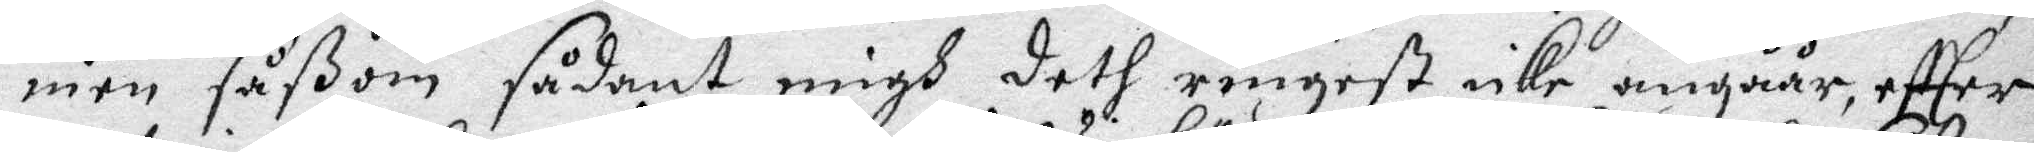men såßom sådant migh deth ringest icke angåår, effter
